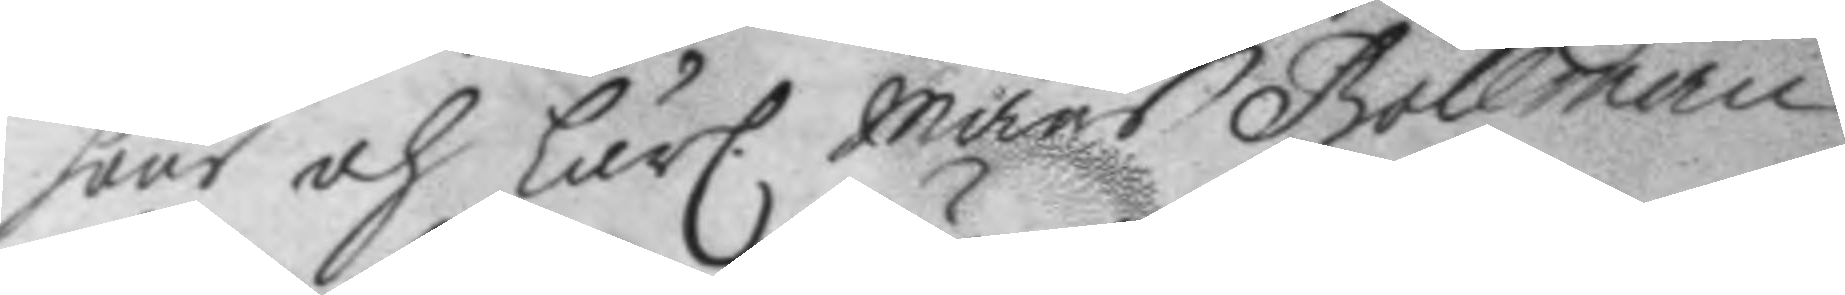hour och LärC. Måns Bollman
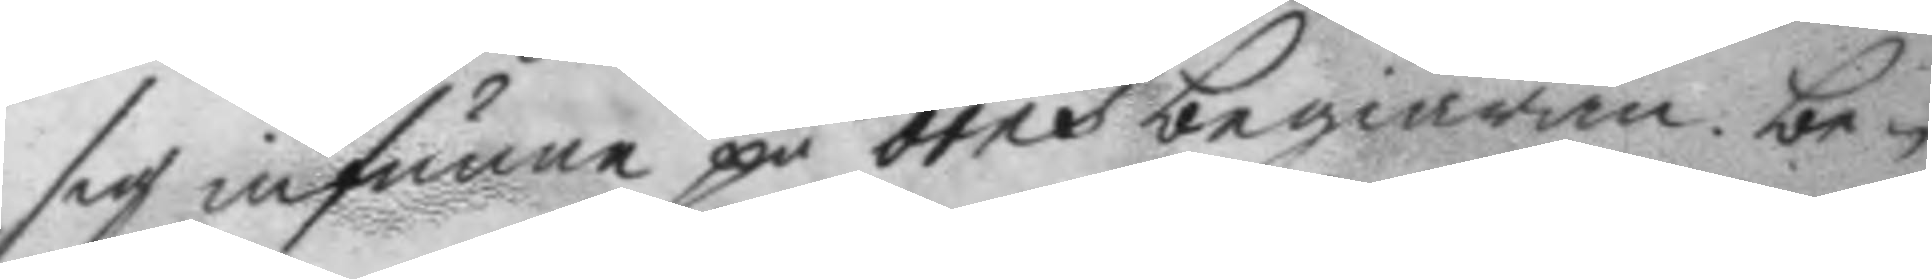sig infunne på örns begiäran, be¬
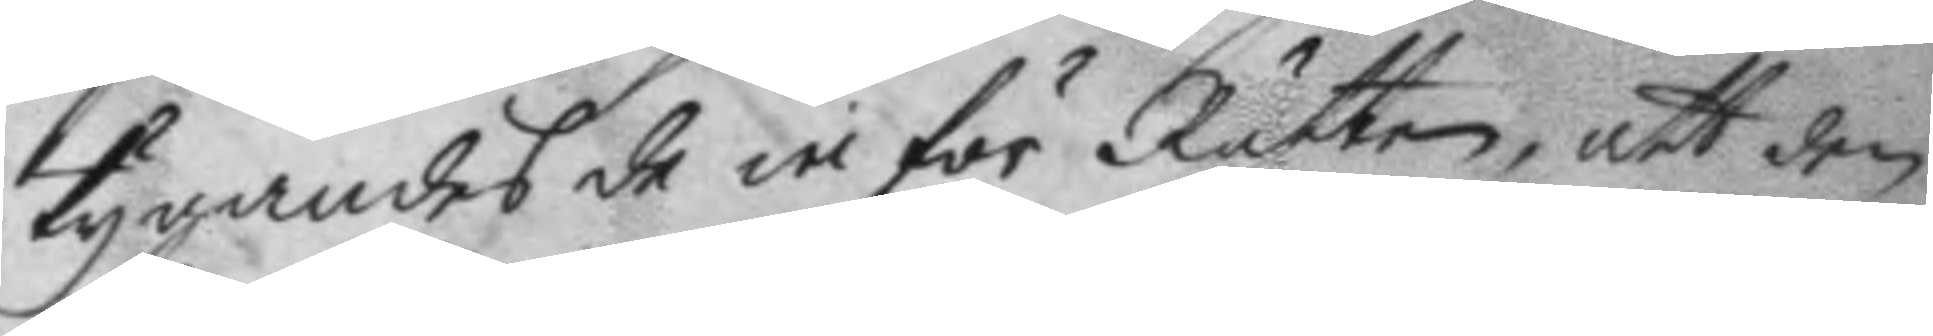tygandes de inför Rätten, att den
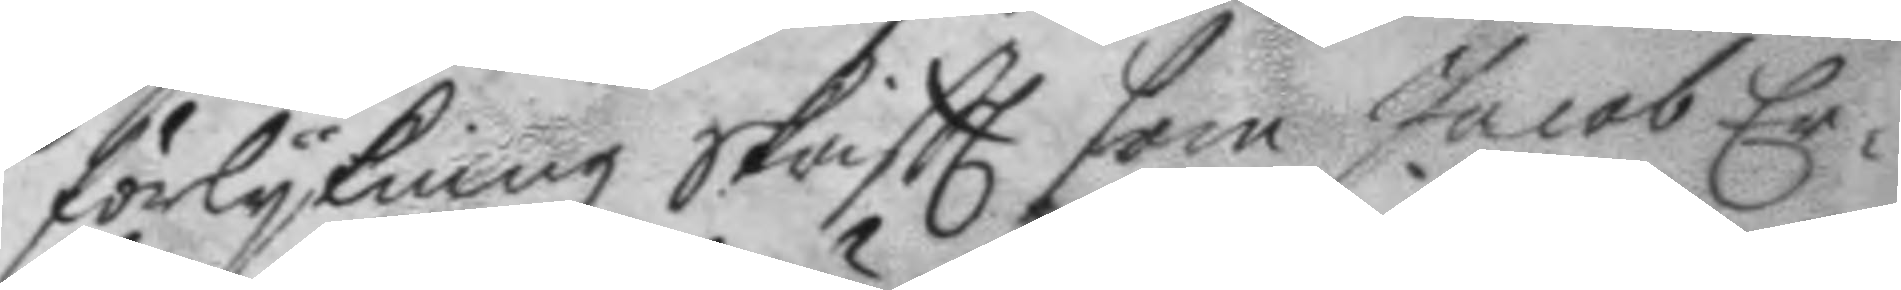förlykningz skriftt som Jacob Er¬
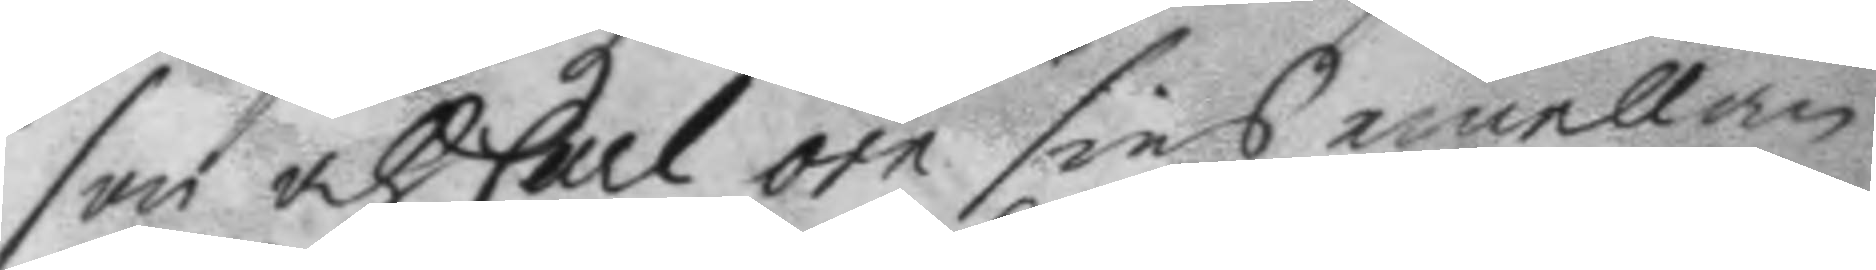son och Carl örn sins emellan
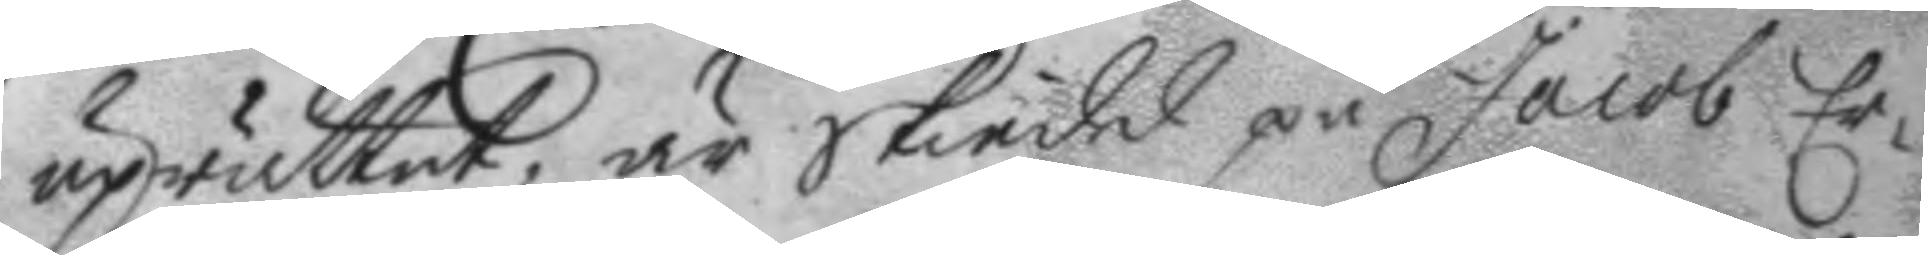uprättat, är skiedd på Jacob Er¬
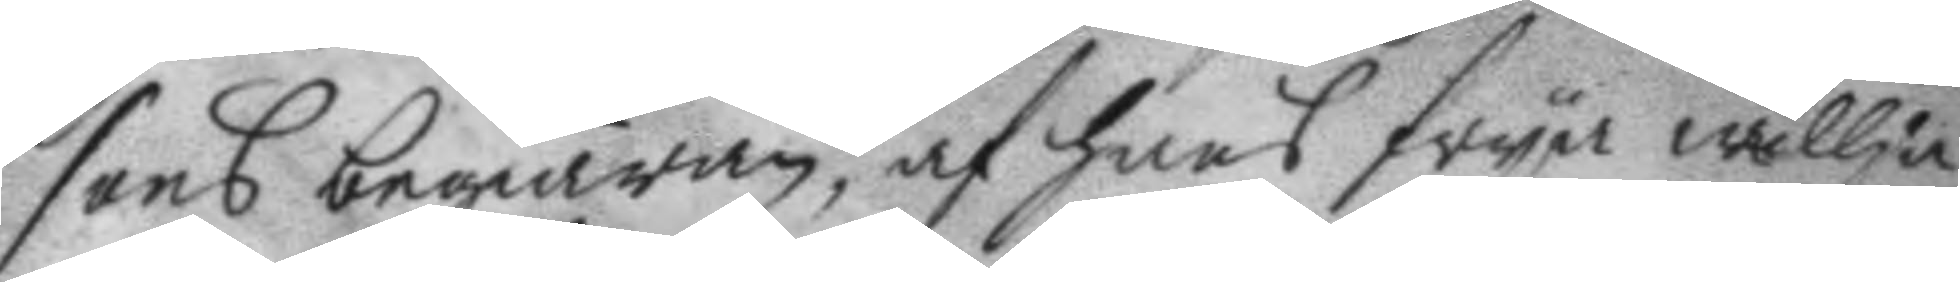sons begiäran, af hans frya willja
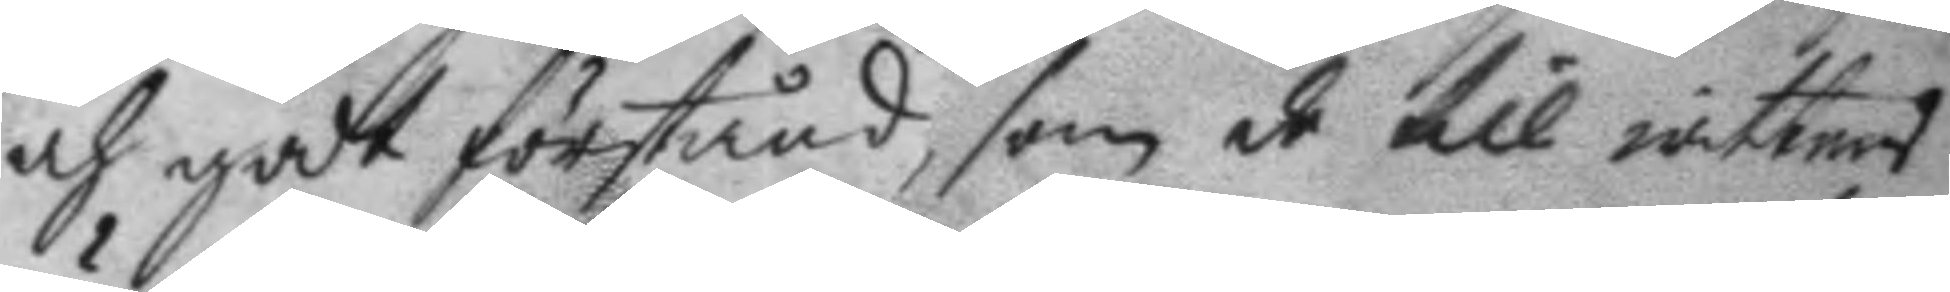och godt förstånd, som de till wittnes
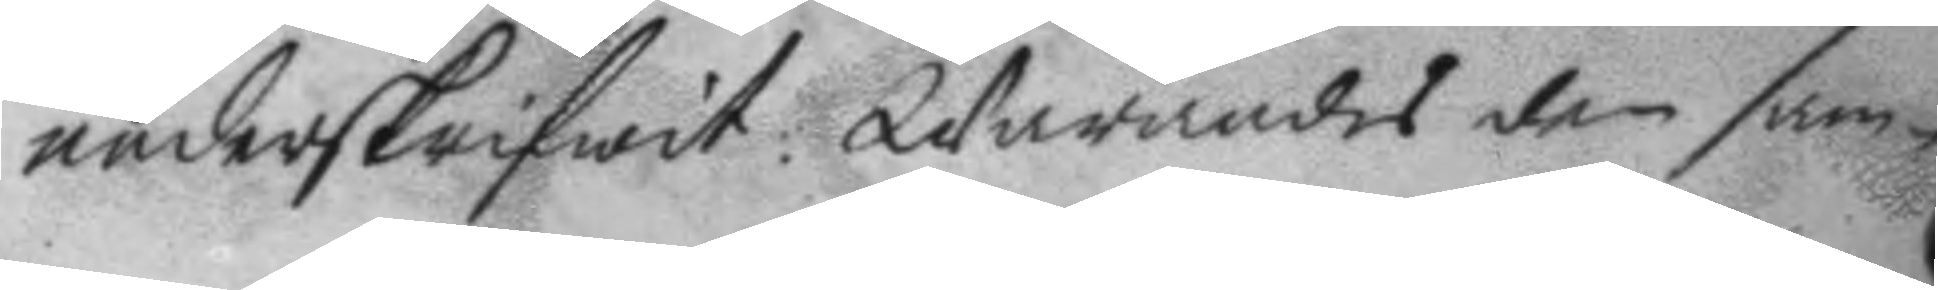underskrifwit: Warandes den sam¬
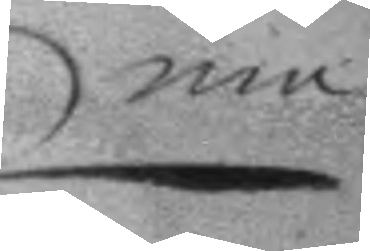ma
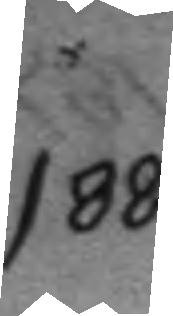188.
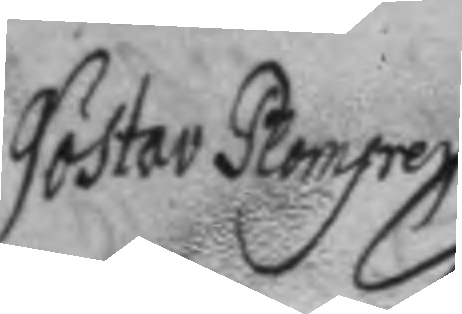Göstav Plomgren
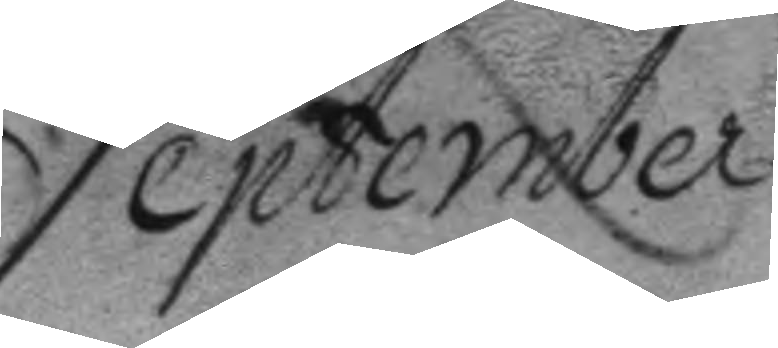September	
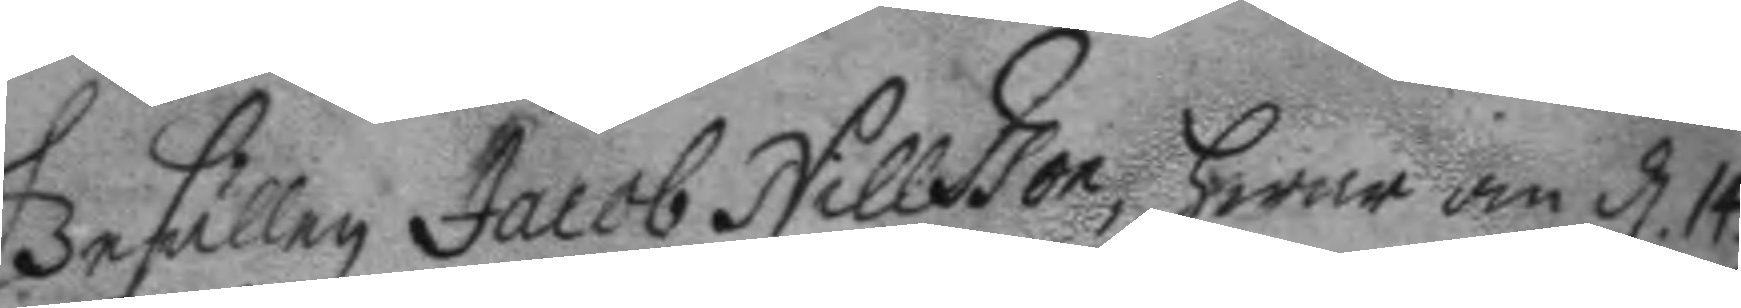Gesällen Jacob Nillsson, hwar om d. 14.
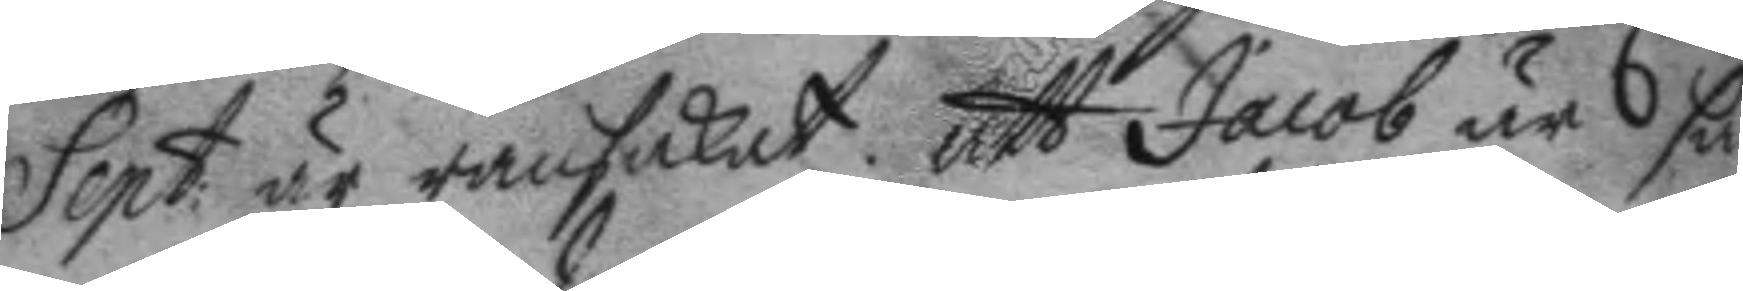Sept: är ransakat, att Jacob är så
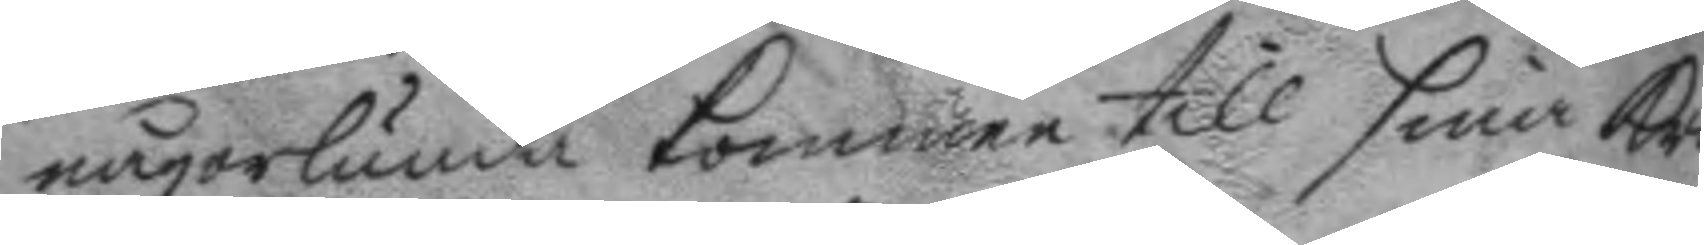någorlunda kommen till sina kraf¬
